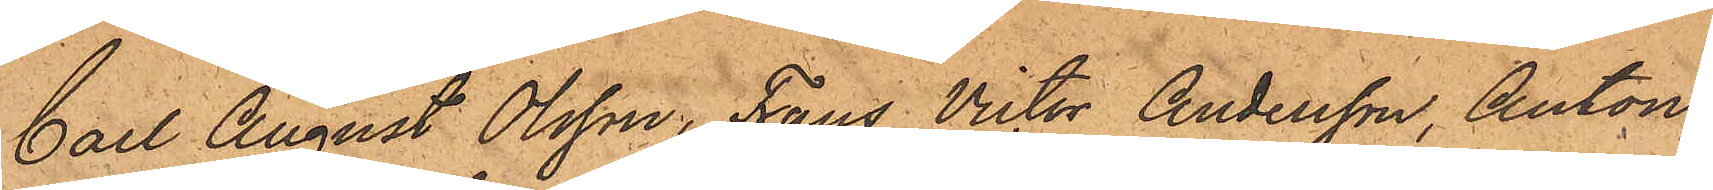Carl August Olsson, Frans Victor Andersson, Anton
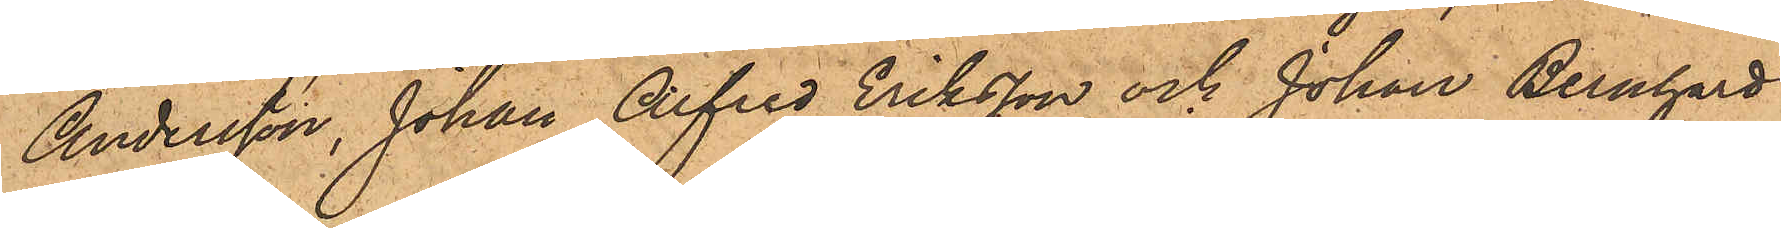Andersson, Johan Alfred Eriksson och Johan Bernhard
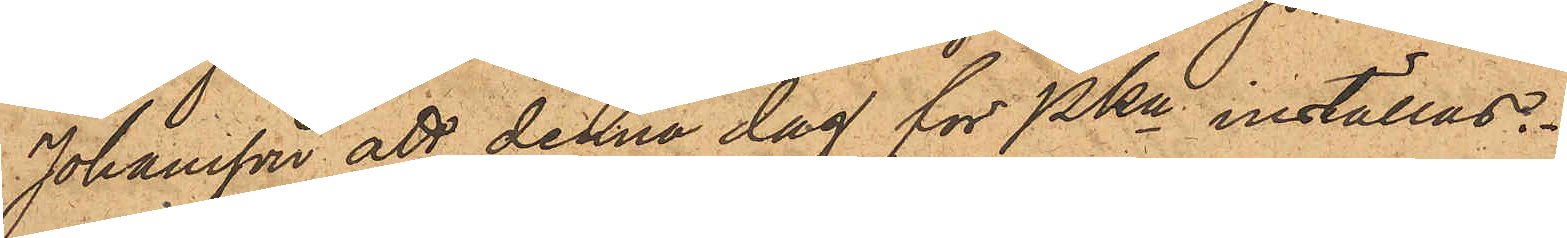Johansson att denna dag för PKn inställas.
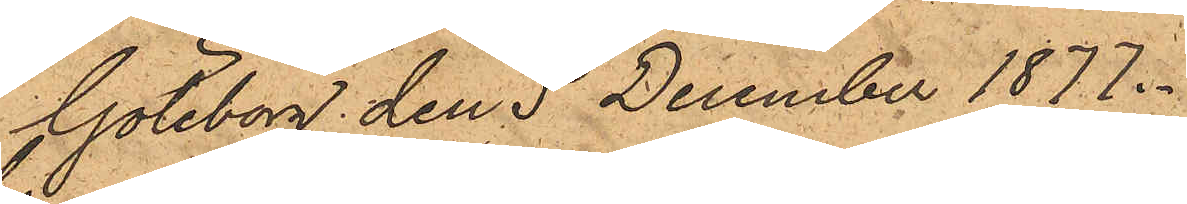Göteborg den 5 December 1877.
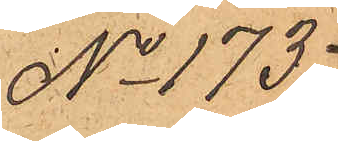No 173.
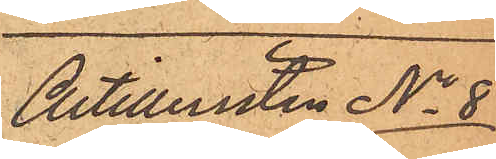Artilleristen No 8
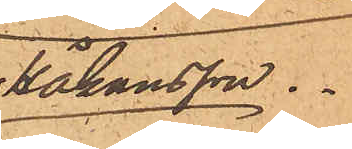Håkansson.
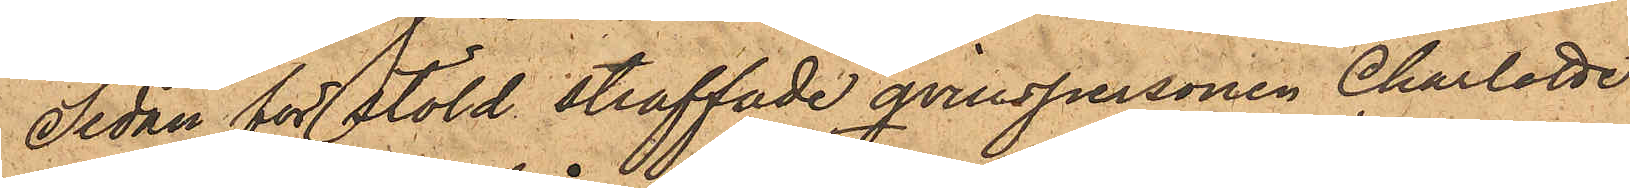Sedan för stöld straffade qvinspersonen Charlotte
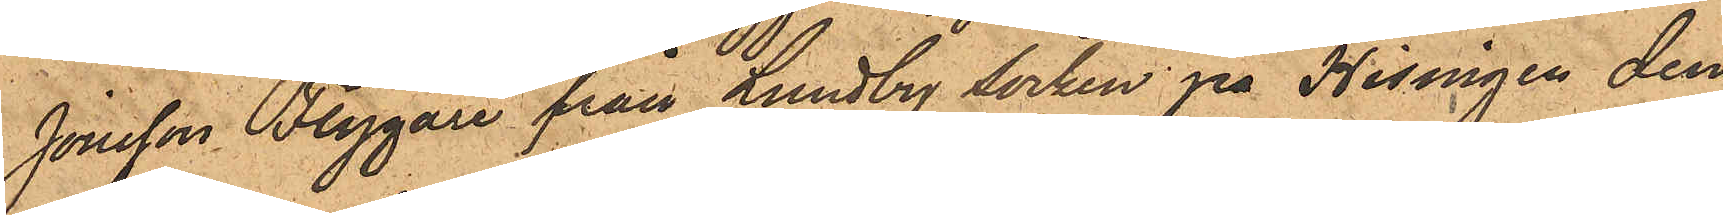Jonsson Flygare från Lundby socken på Hisingen den
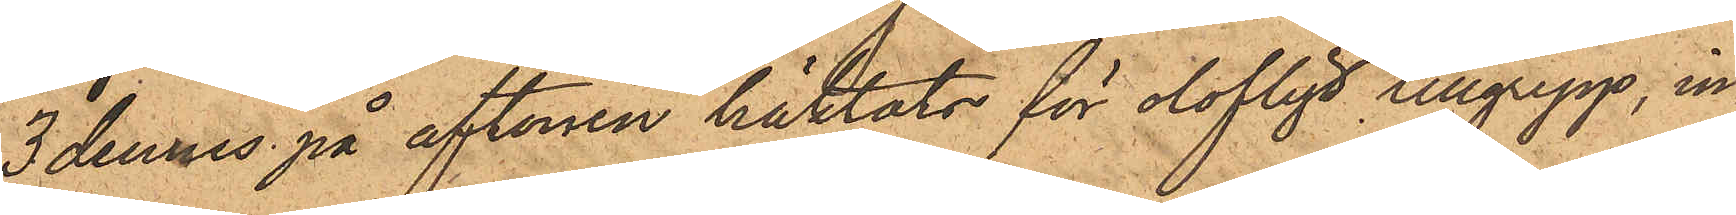3 dennes på aftonen häktats för olofligt tillgrepp, in¬
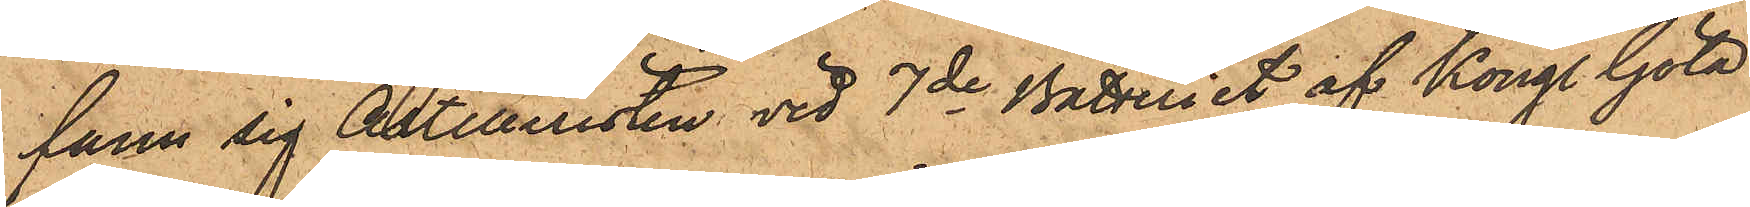fann sig Artilleristen vid 7de Batteriet af Kongl. Göta
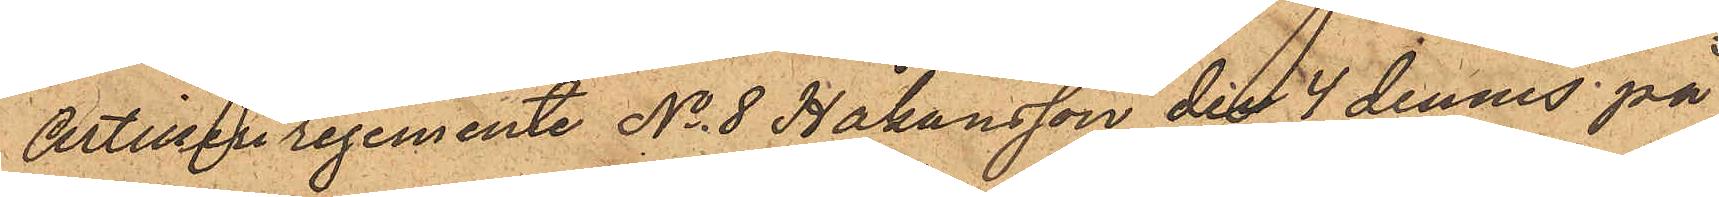Artilleriregemente No 8 Håkansson den 4 dennes på
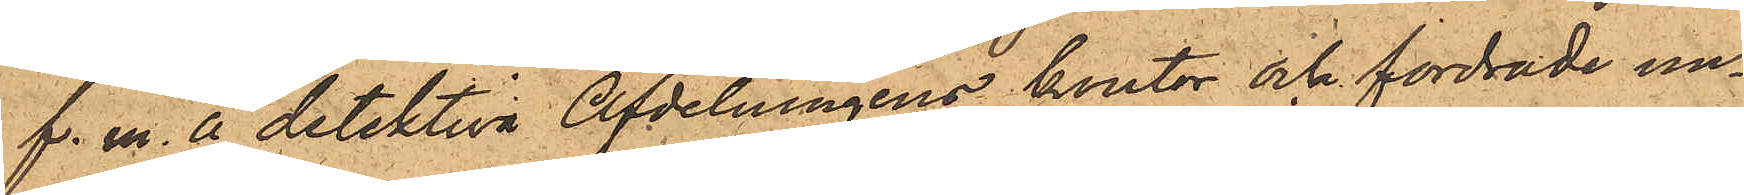f. m. å detektiva Afdelningens kontor och fordrade un¬
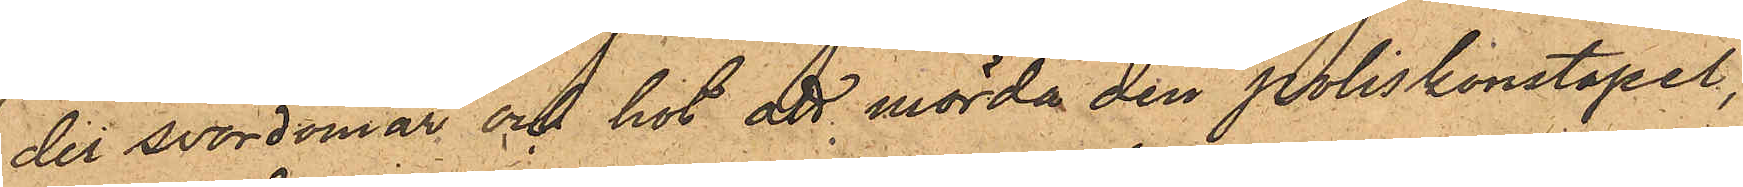der svordomar och hot att mörda den poliskonstapel,
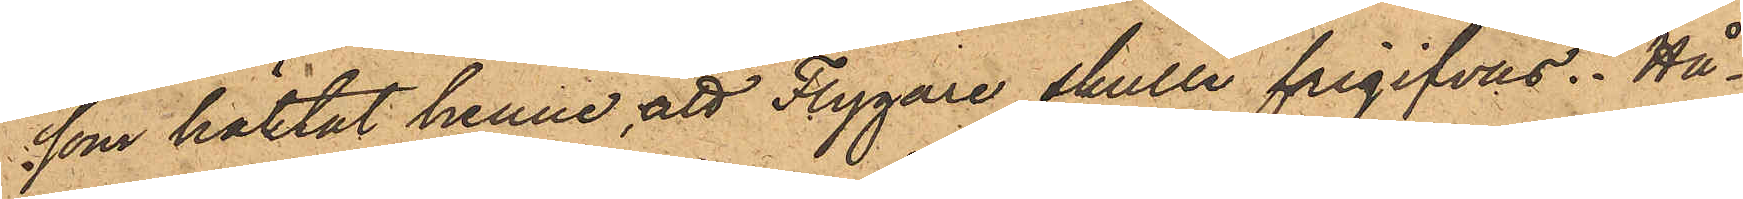som häktat henne, att Flygare skulle frigifvas. Hå¬
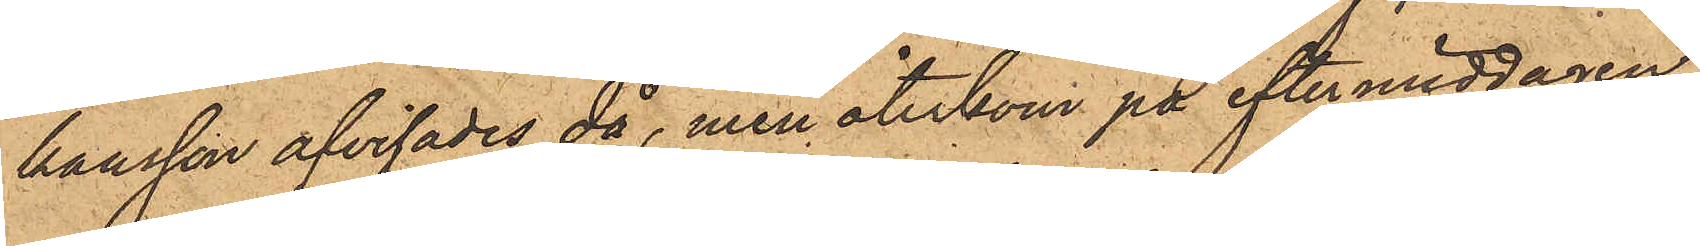kansson afvisades då, men återkom på eftermiddagen
